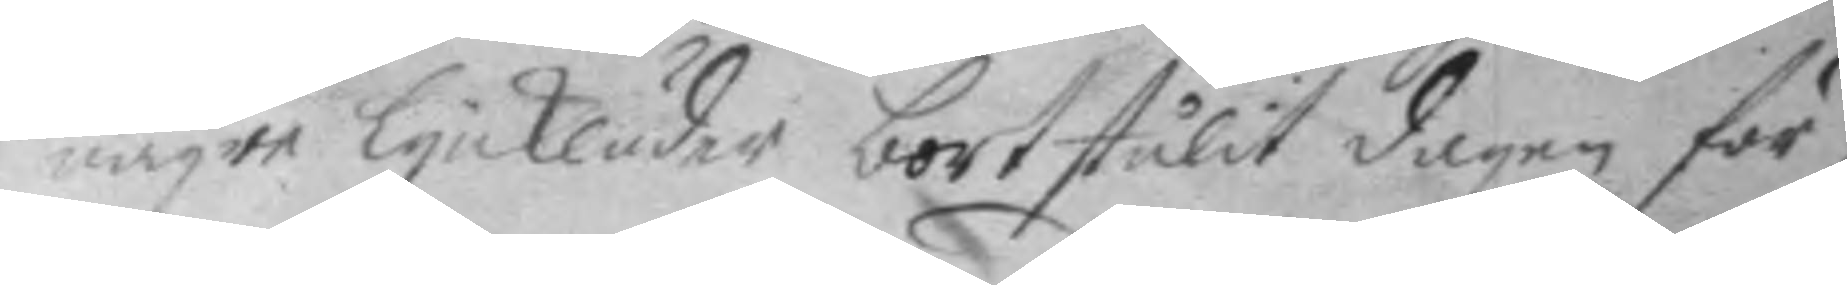nägre Lynkläder bortstulit dagen för
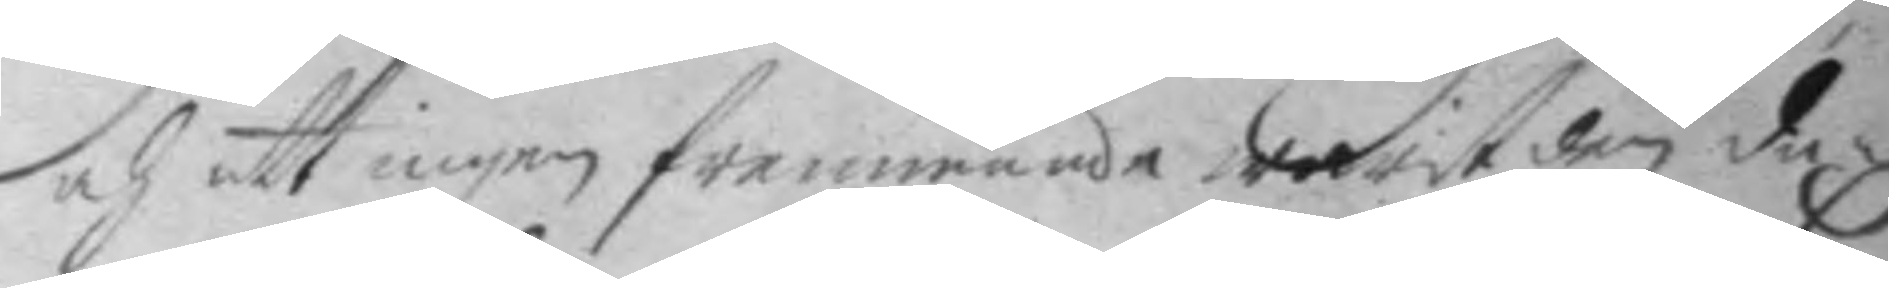och att ingen fremmande warit den da¬
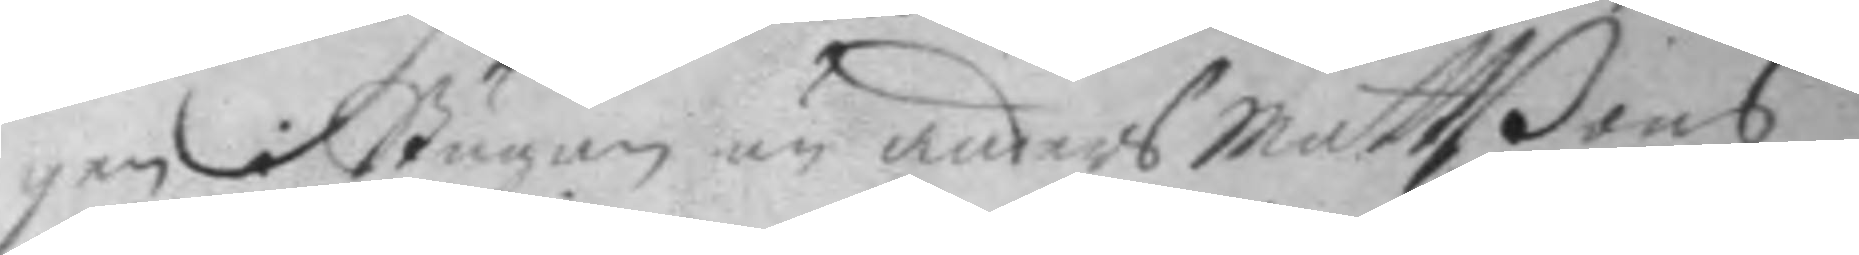gen i Stugan än anders Mattßons
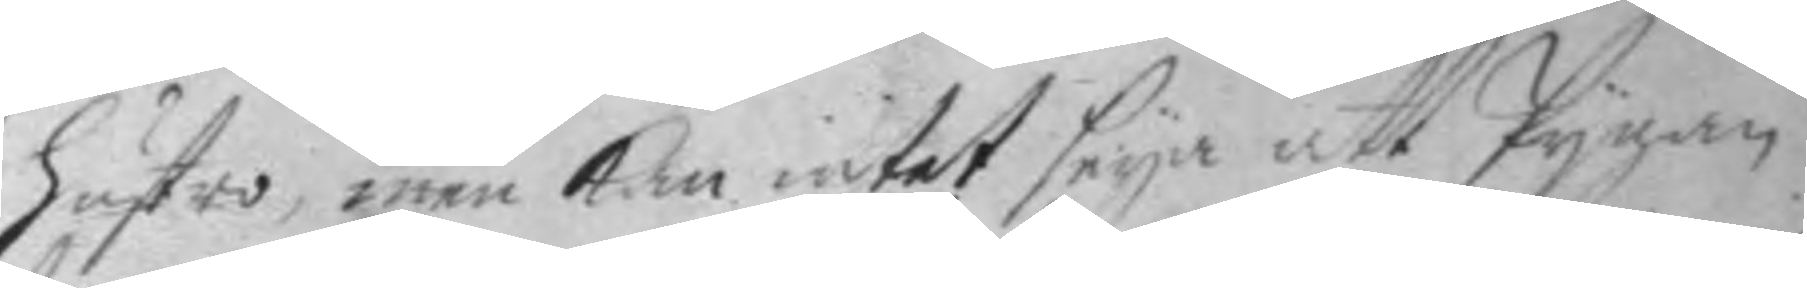hustro, men kan intet seya att Pygan
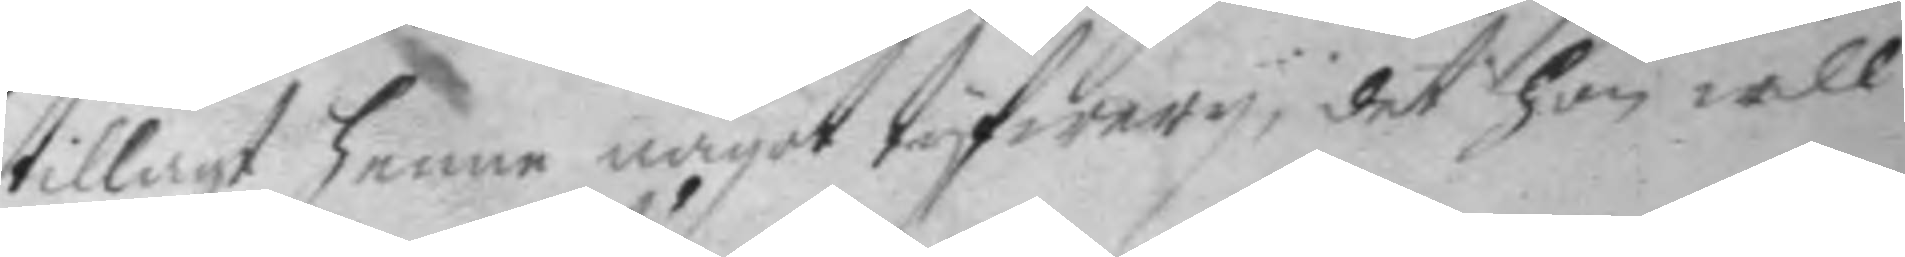tillagt henne något tyfwery, det hon will
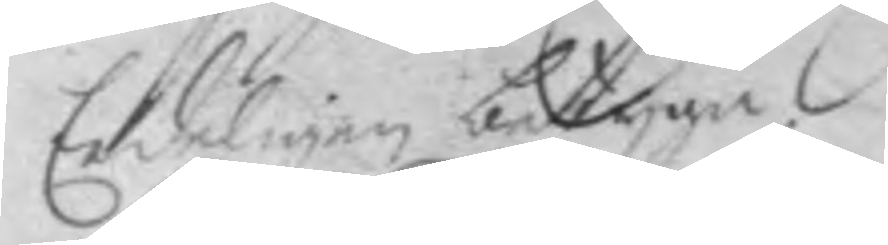Eedeligen betyga.
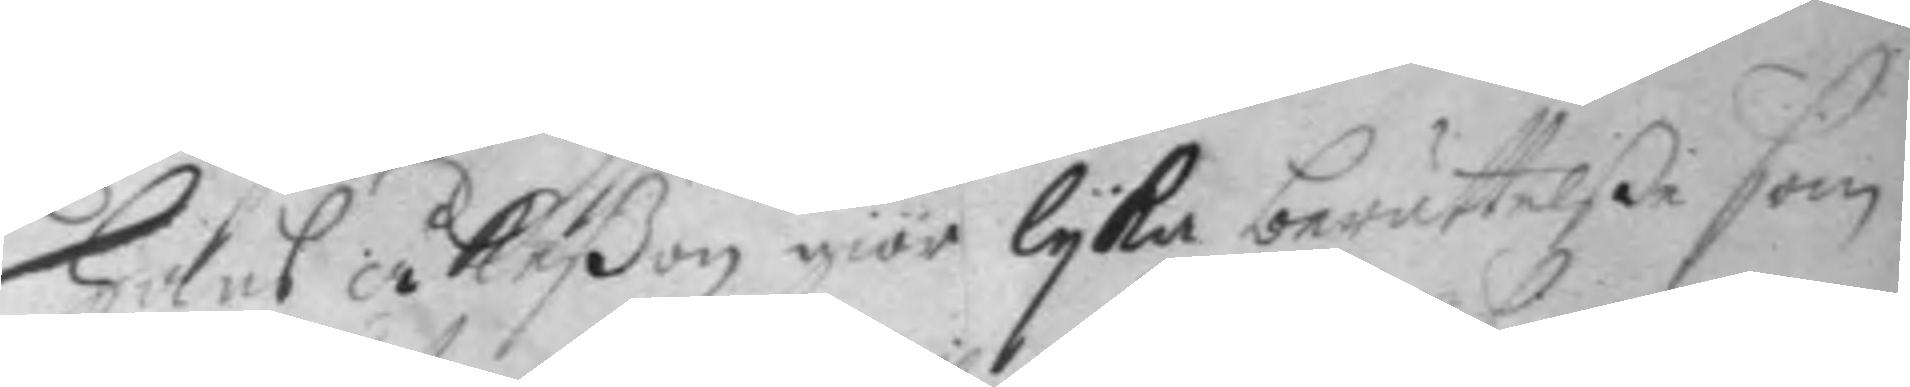Hans åkeßon giör lyka berättelße som
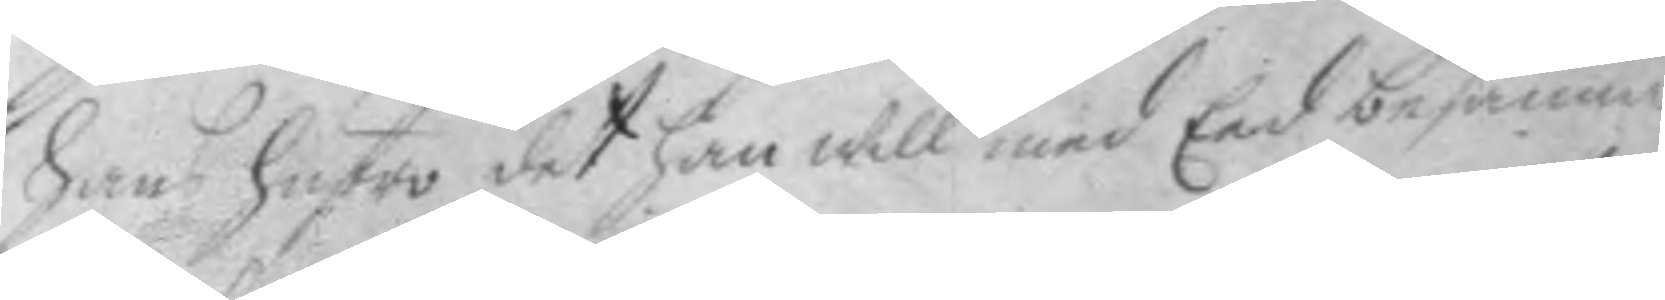hans hustro det han will med Eed besanna.
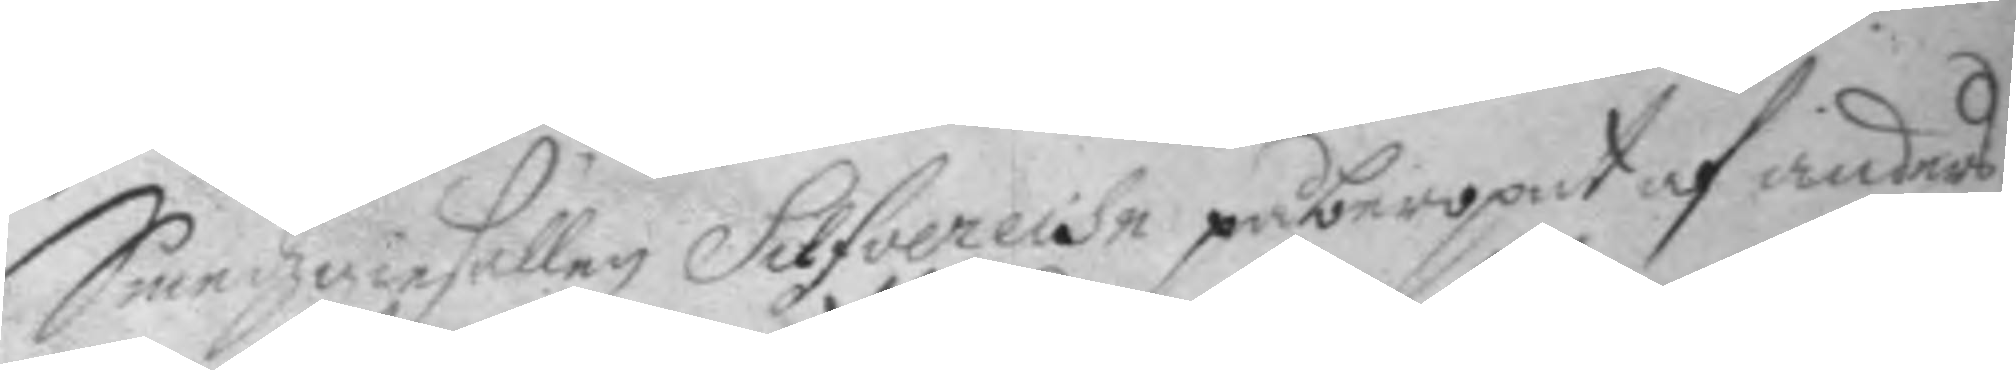Smedzgiesällen Silfverelse påberopat af anders
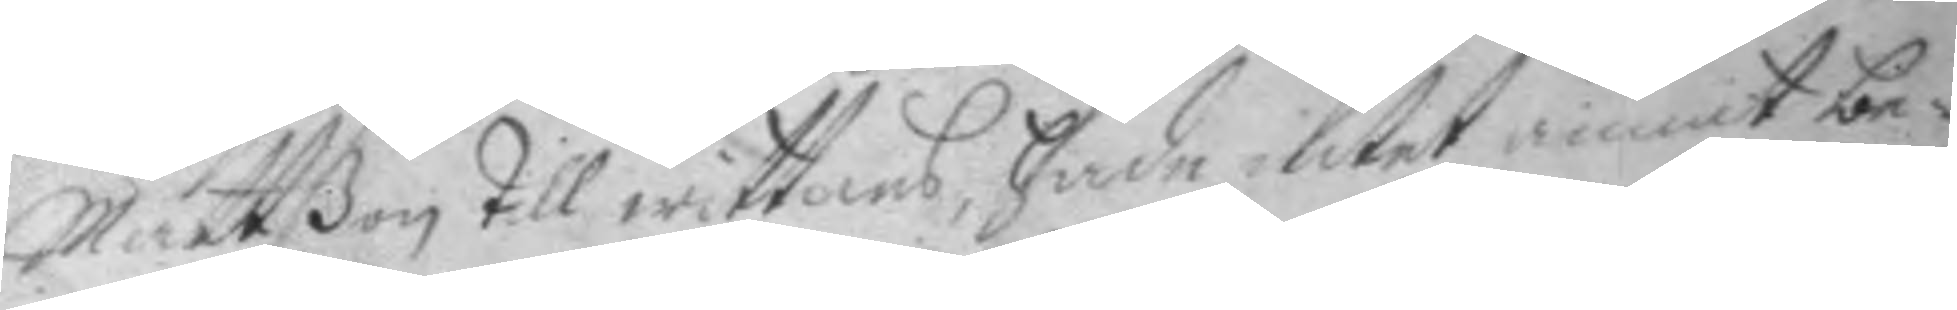Mattßon till wittnes, hade intet annat be¬
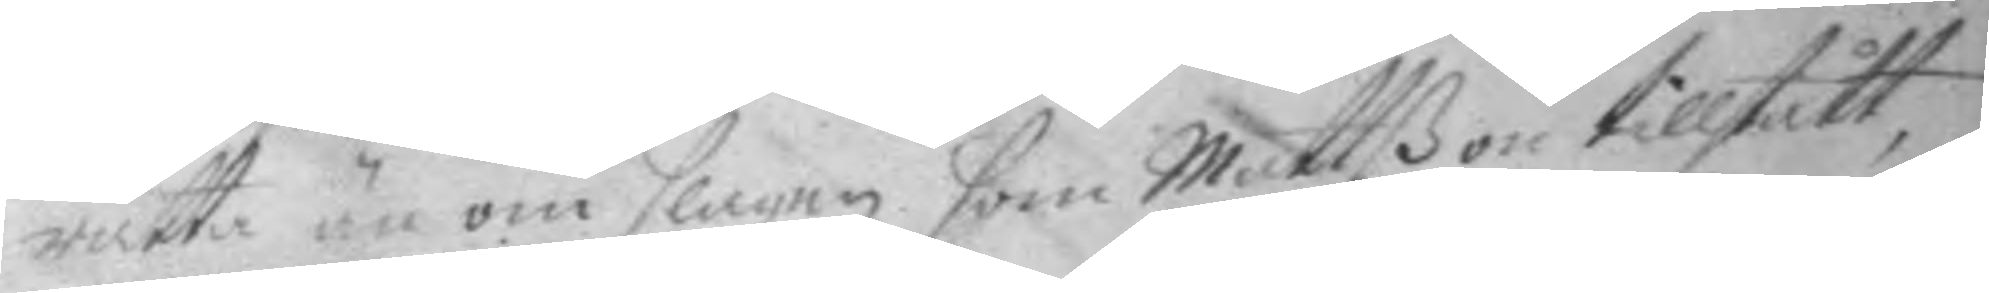rätta än om slagen som Mattßon tillstått,
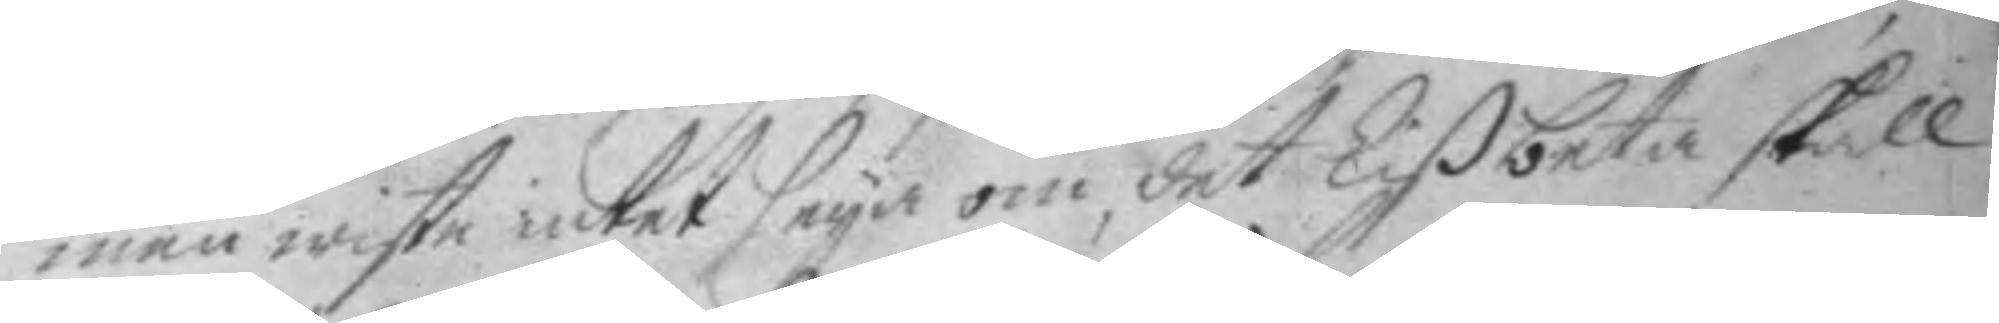men wiste intet seya om det Lißbeta skall
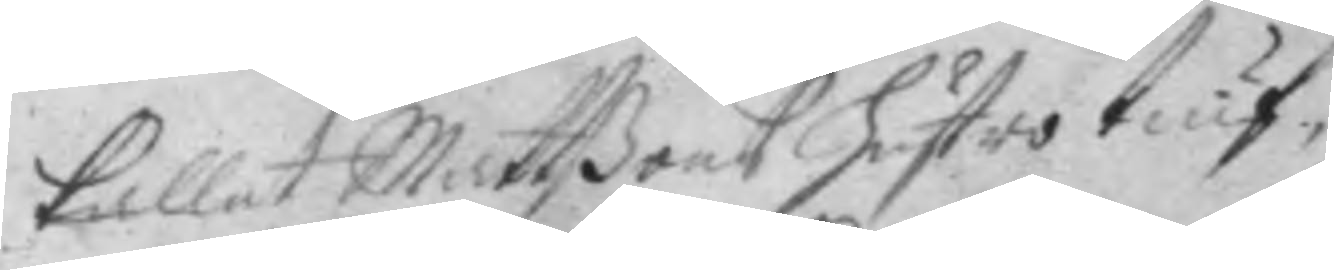kallat Mattßons hustri tiuf.
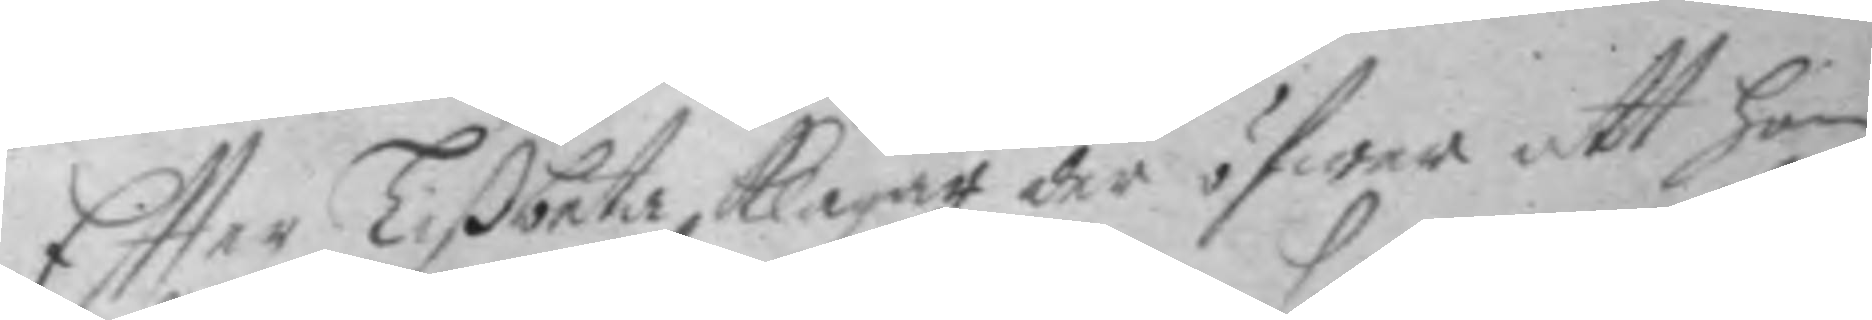Eftter Lißbeta klagat der öfwer att hpn
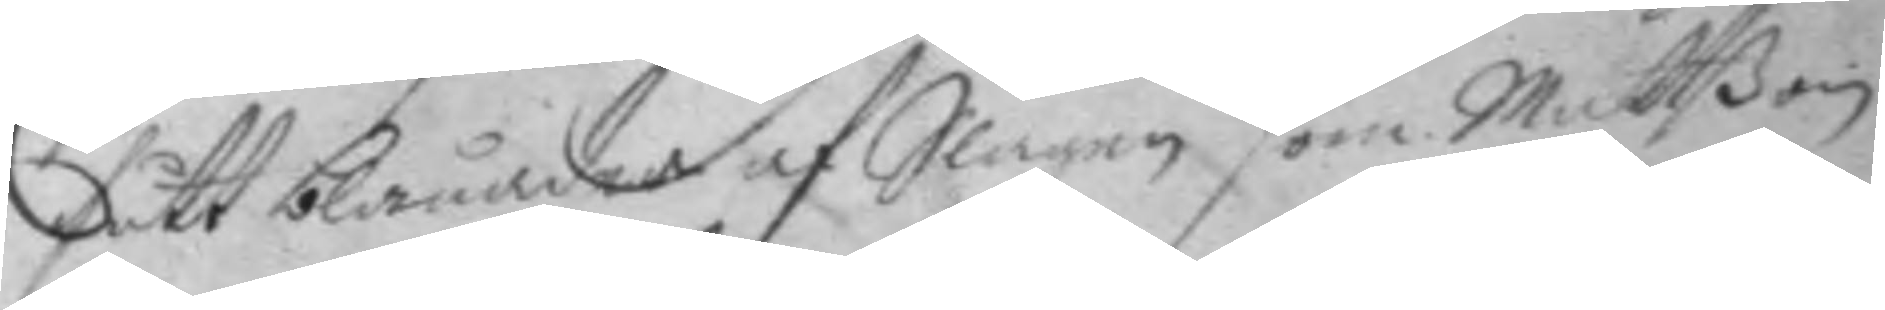fått blånader af Slagen som Mattßon
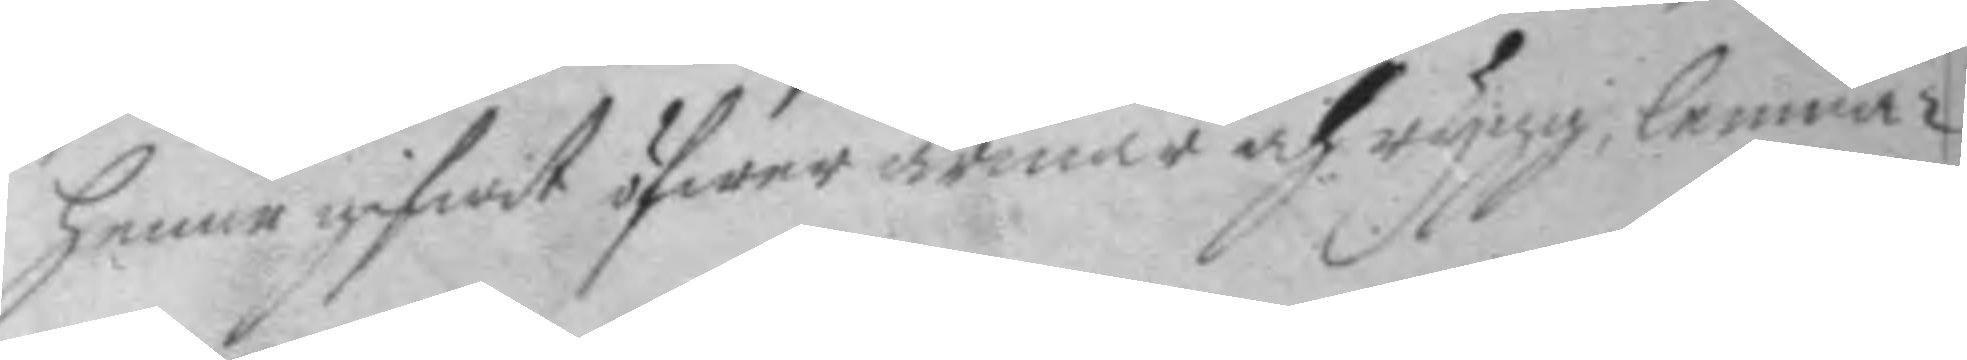henne gifwit öfwer armar och rygg, lemnar
